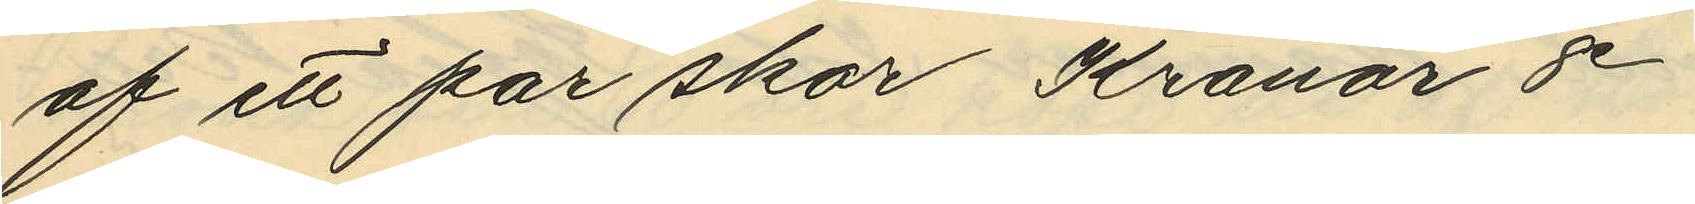af ett par skor Kronor 8
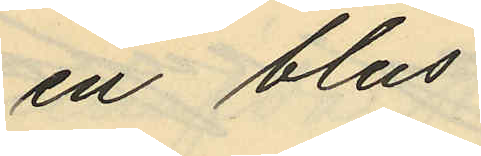en blus
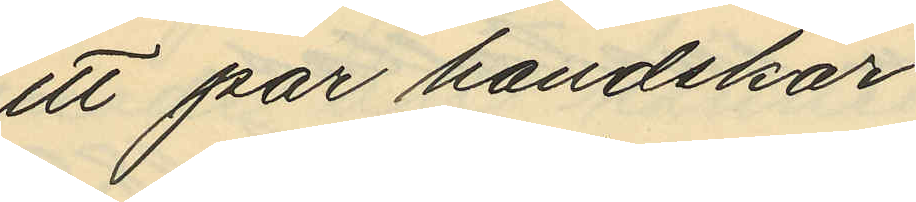ett par handskar
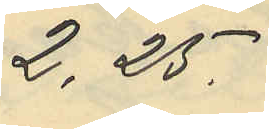2,25.
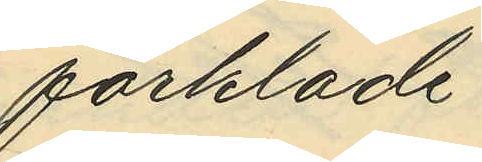förkläde
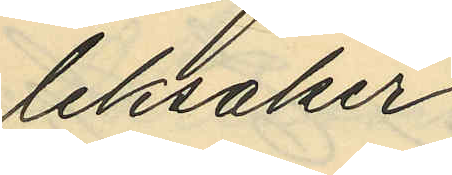leksaker
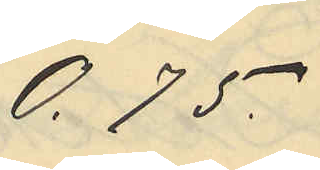0,75
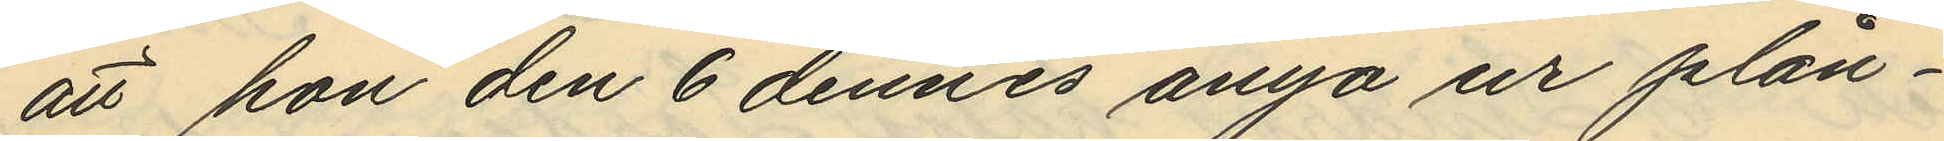att hon den 6 dennes ånyo ur plån¬
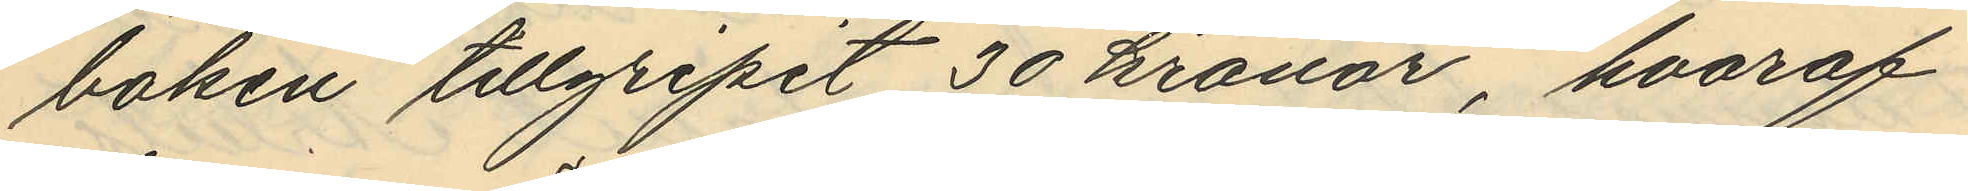boken tillgripit 30 kronor, hvaraf
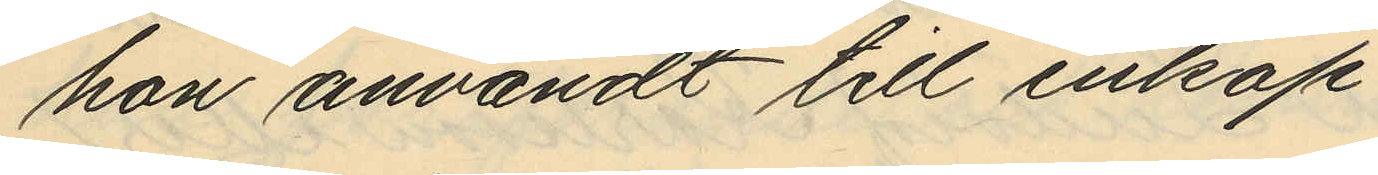hon användt till inköp
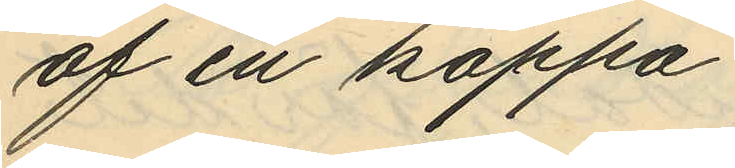af en kappa
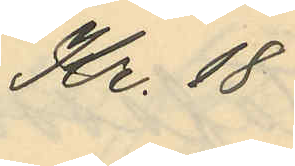Kr. 18
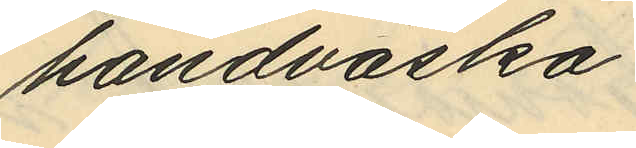handväska
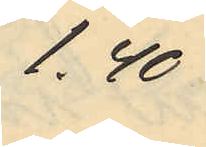1.40
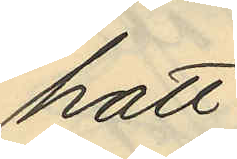Hatt
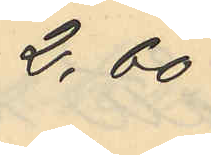2,60
